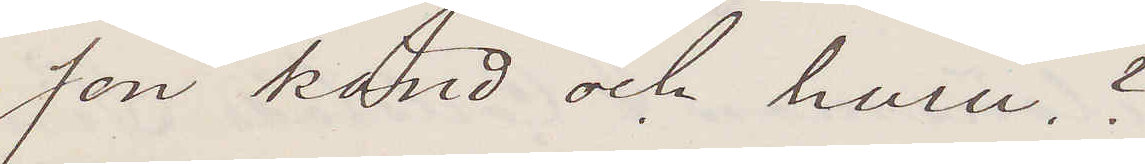son känd och huru?
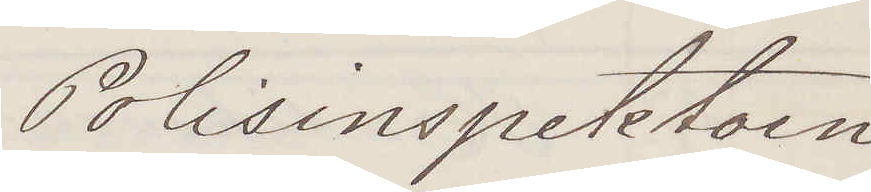Polisinspektorn
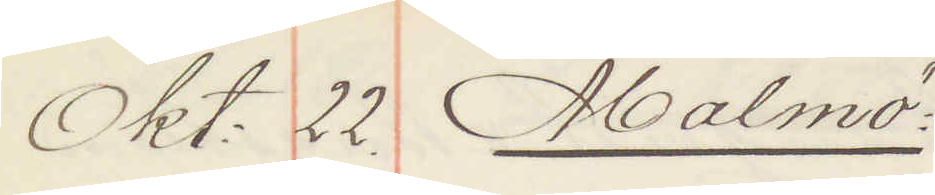Okt: 22. Malmö:
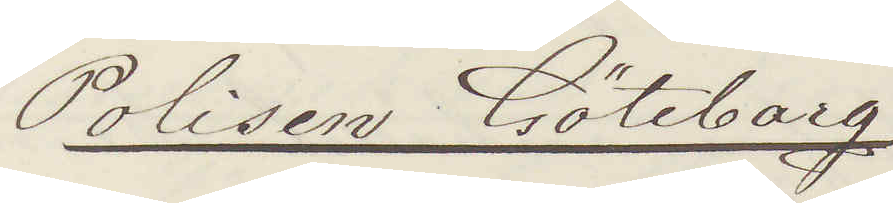Polisen Göteborg.
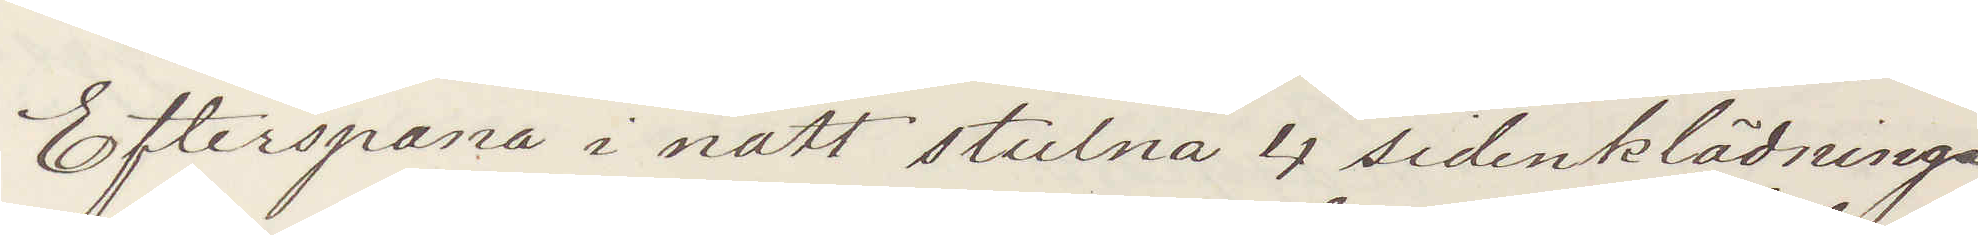Efterspana i natt stulna 4 sidenklädningar
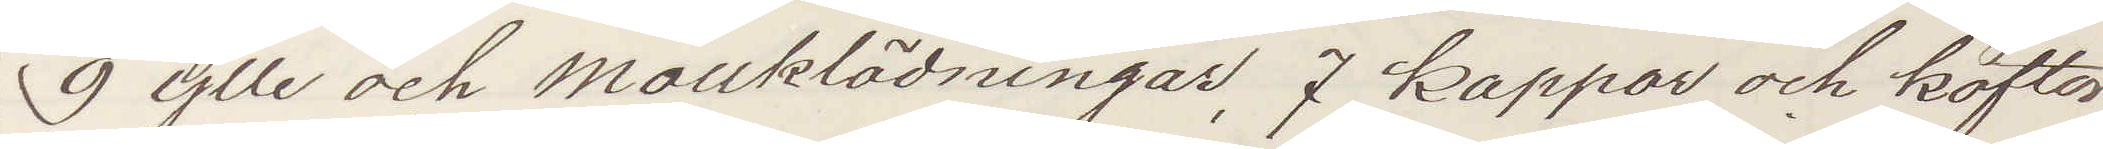9 ylle och mollklädningar, 7 kappor och koftor,
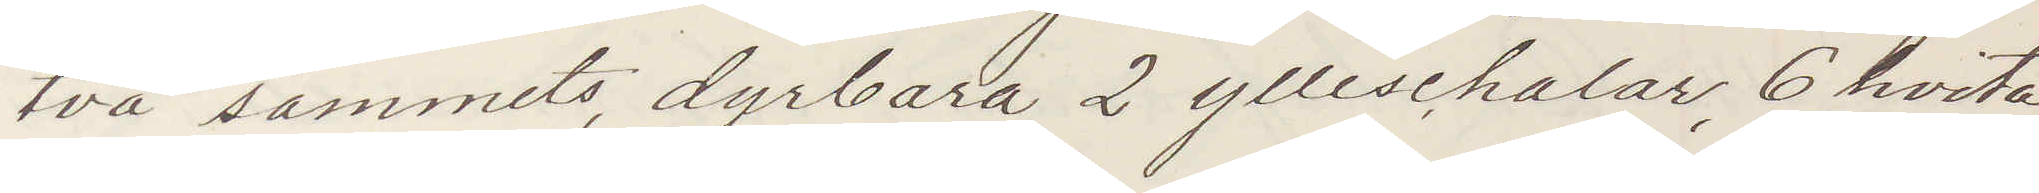två sammets dyrbara, 2 ylleschalar, 6 hvita
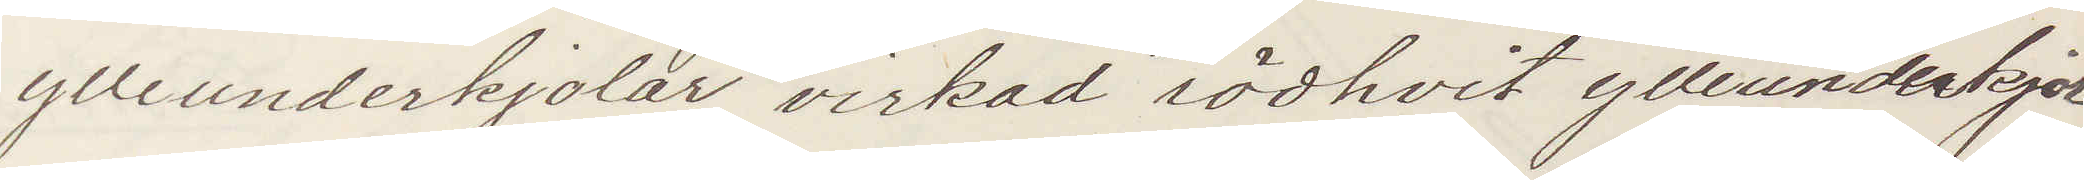ylleunderkjolar, virkad rödhvit ylleunderkjol
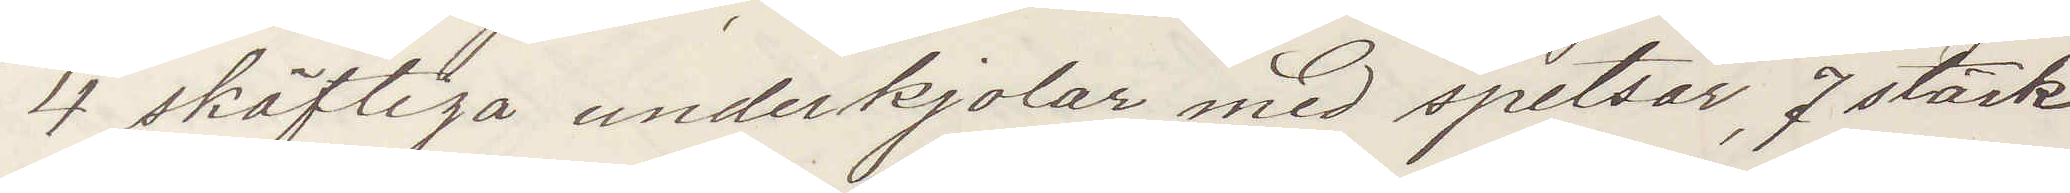4 skäftiga underkjolar med spetsar, 7 stärk¬
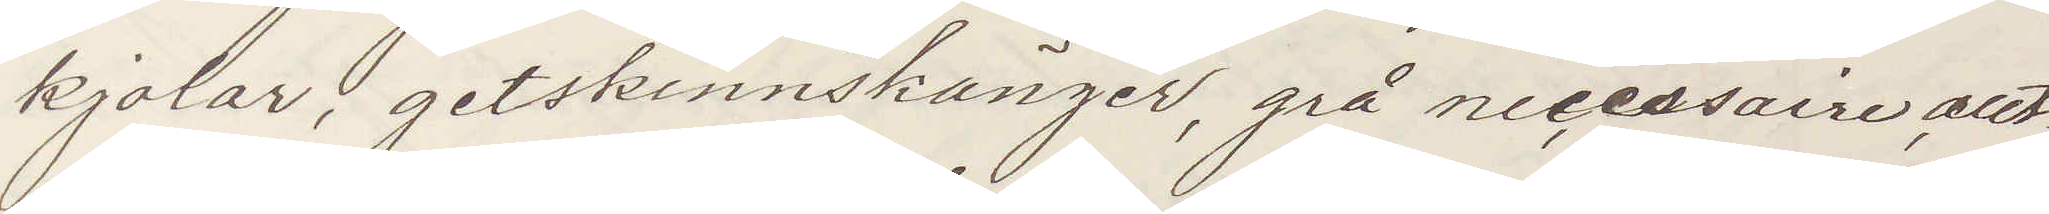kjolar, getskinnskänger, grå necessaire, allt
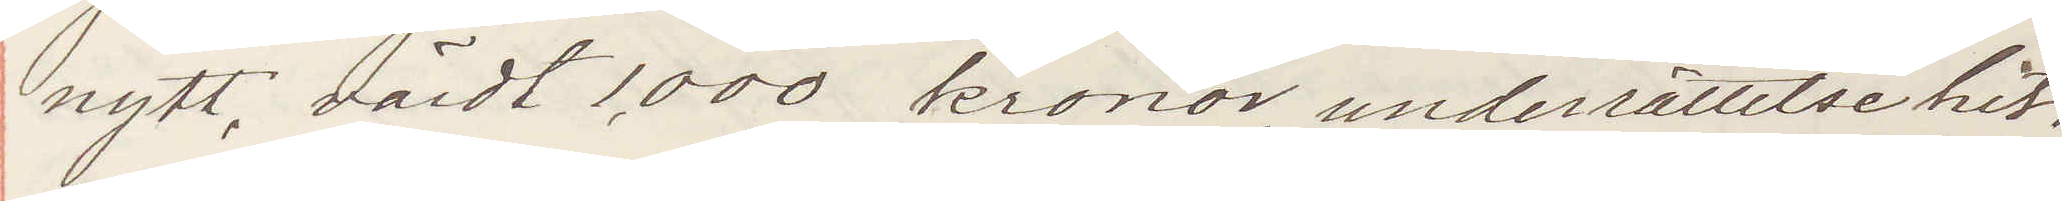nytt, värdt 1,000 kronor, underrättelse hit.
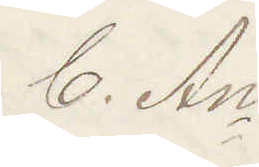C. An
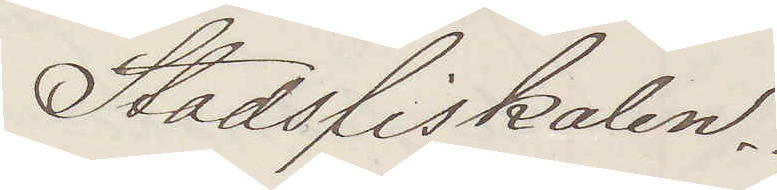Stadsfiskalen.
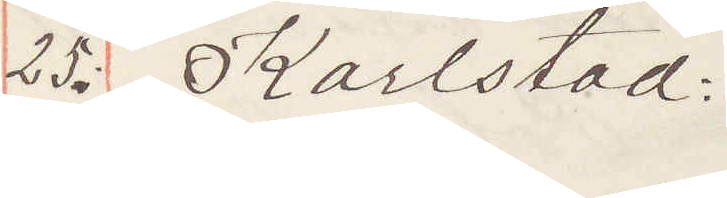25: Karlstad:
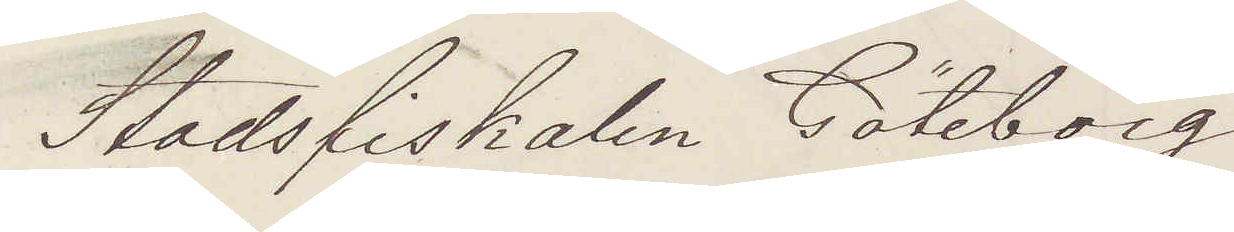Stadsfiskalen Göteborg
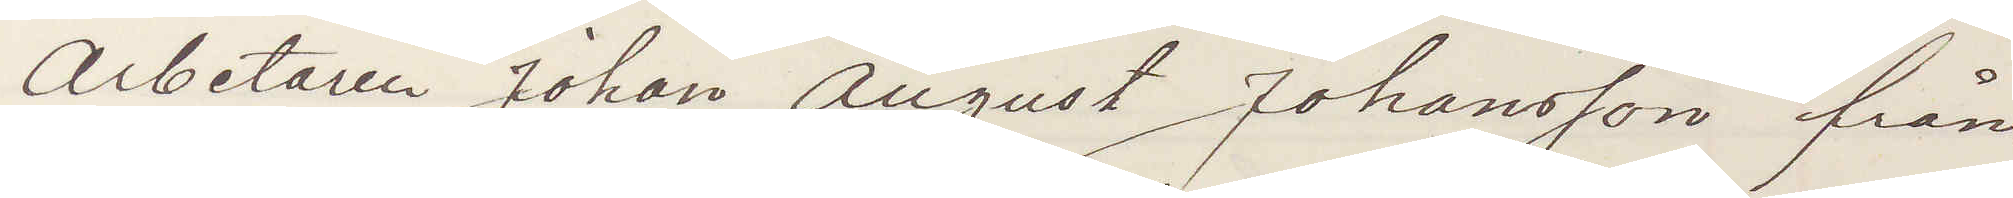Arbetaren Johan August Johansson från
